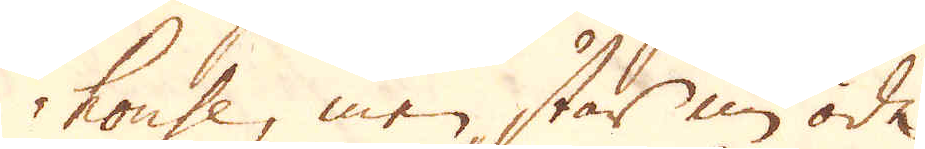house, men står nu öde.
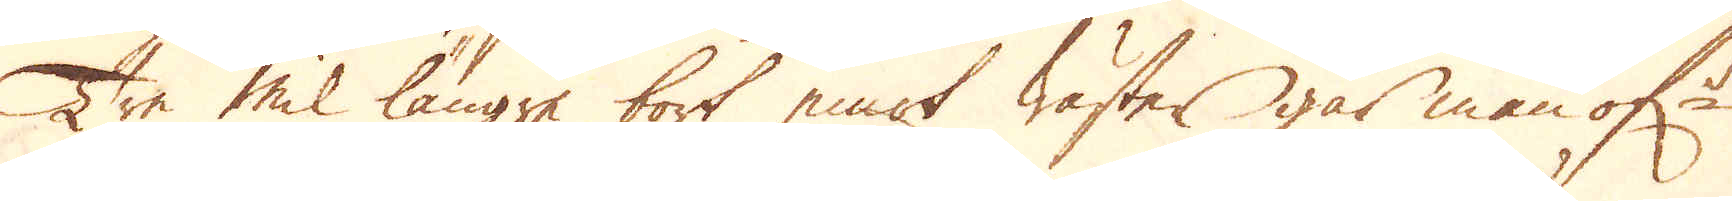Tre mil längre bort emot wäster går man öf:r
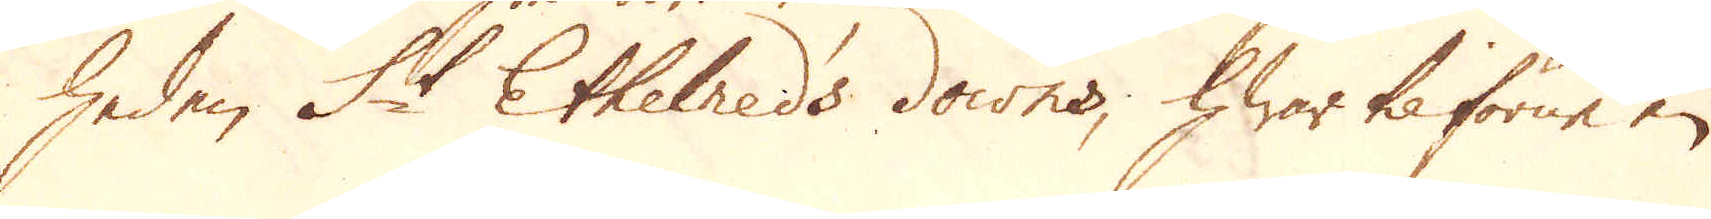Heden St Ethelneds downs, hwar tilförne en
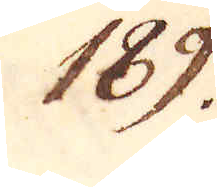189.
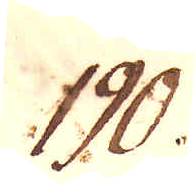190.
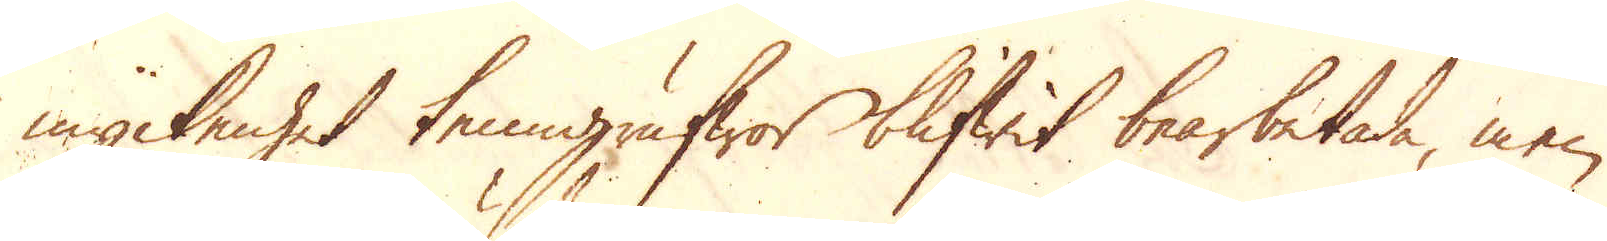myckenhet tenngrufwor blifwit bearbetade, men
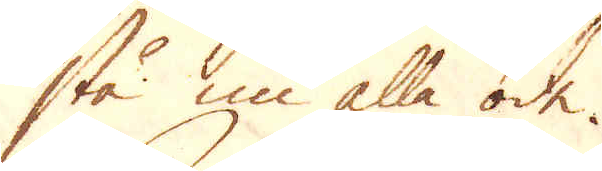stå nu alla öde.
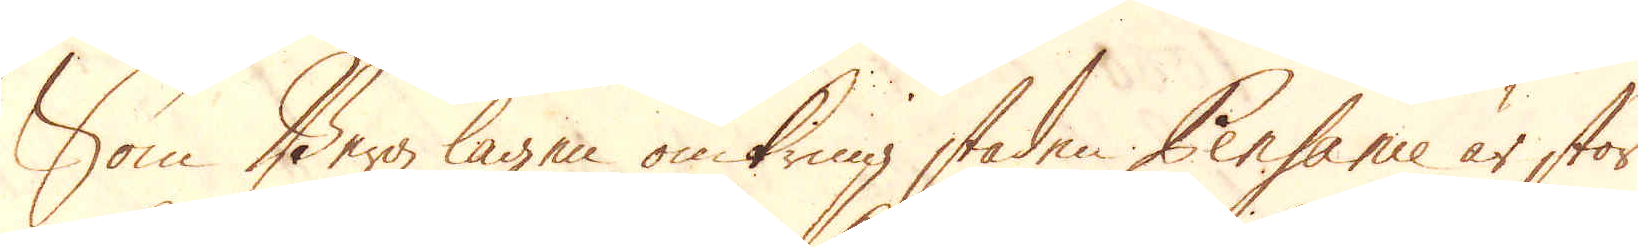Som Bergzlagen omkring staden Pensanie är stor
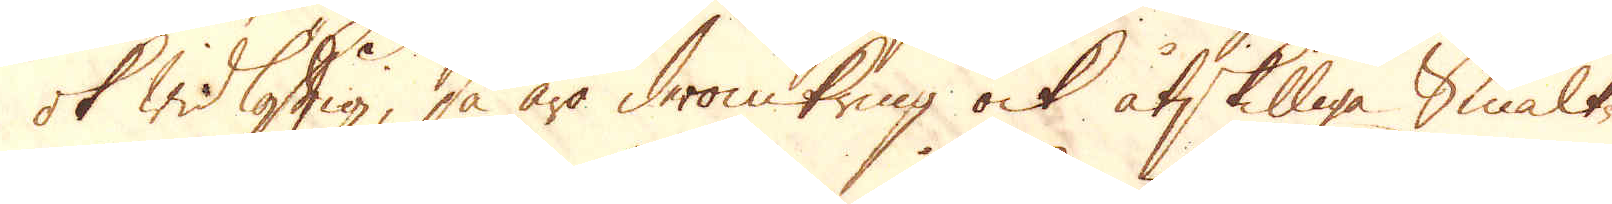ok widlöftig så äro deromkring ock åtskilliga smält-
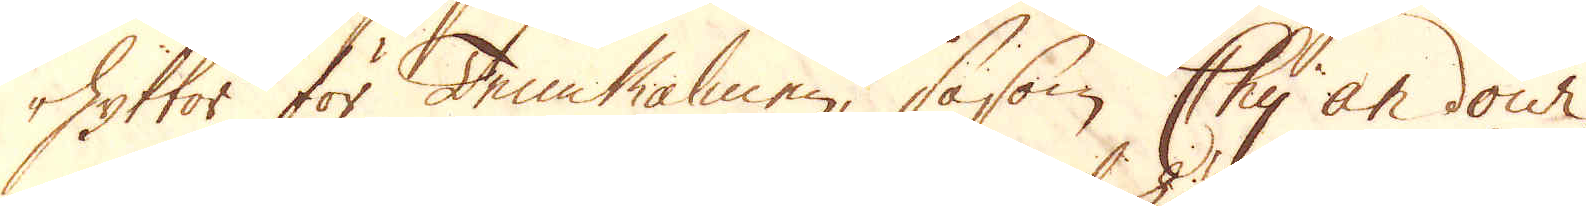hyttor för Tennalmen, såsom Chy an dour,
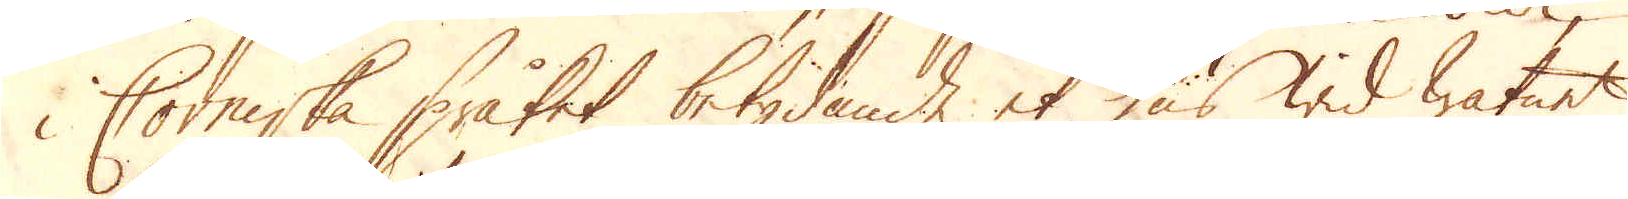i Corniska språket betydande et hus wid watnet
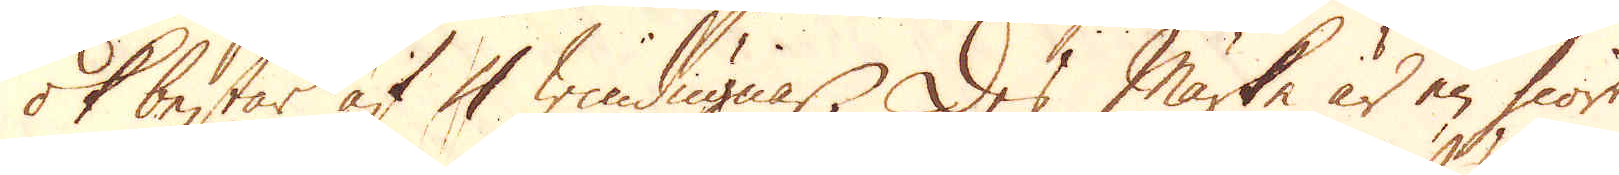ok består af 4 windugnar. Des märke är en hiort
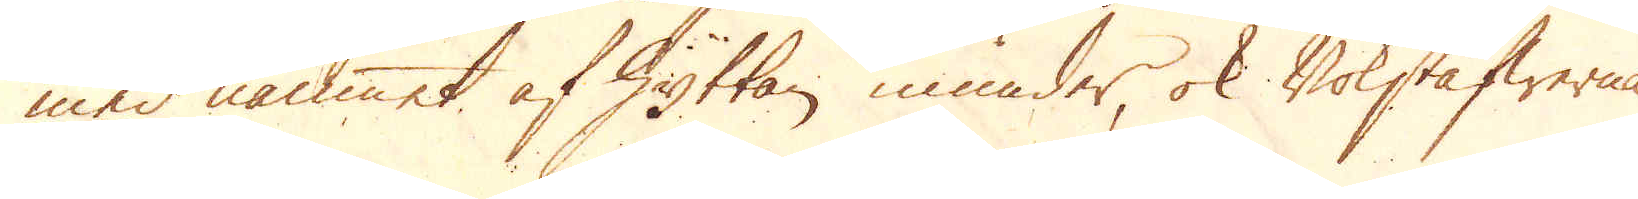med namnet af Hyttan inunder, ok Bokstäfwerna
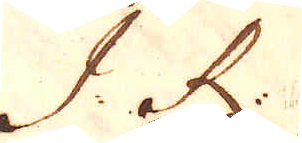J. R.
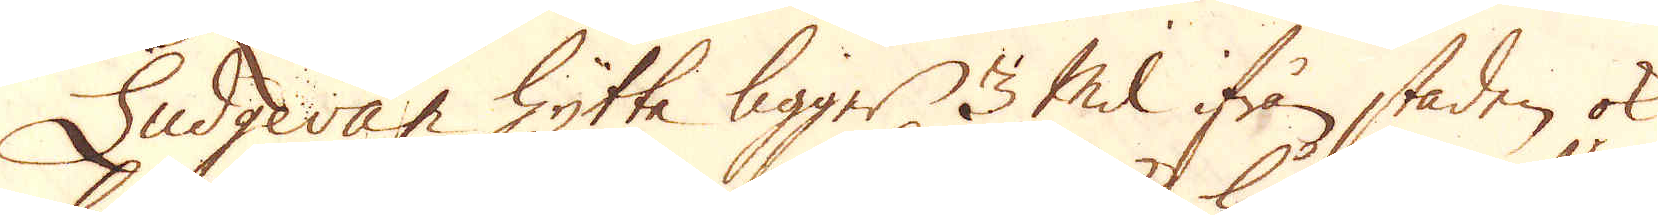Liugean hytta ligger 3 Mil ifrån staden ok
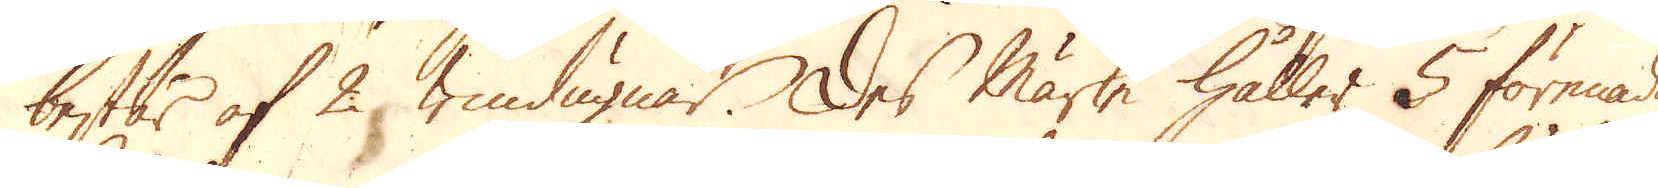består af 2 windugnar. Des märke håller 5 förenade
